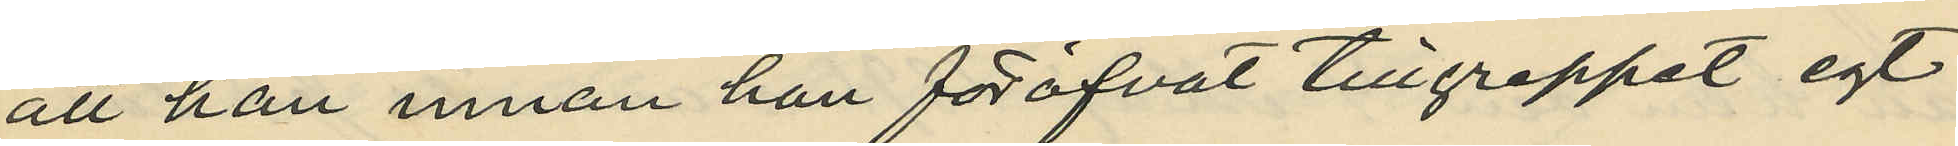att han innan han föröfvat tillgreppet egt
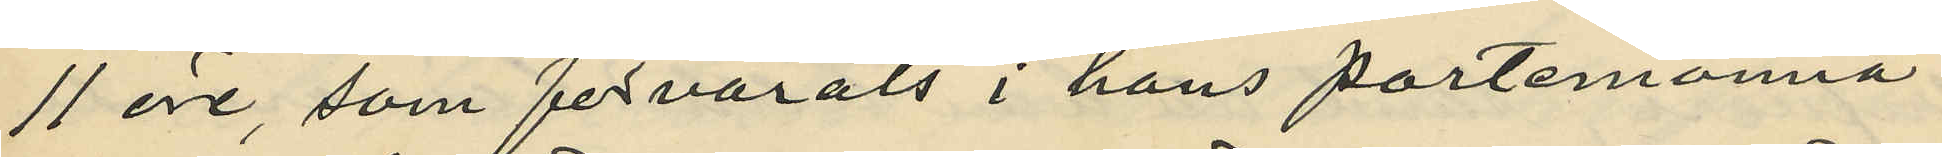11 öre, som förvarats i hans portmonnä
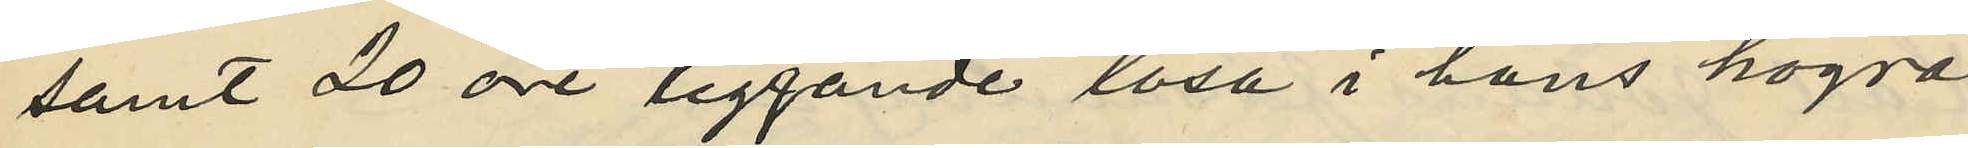samt 20 öre liggande lösa i hans högra
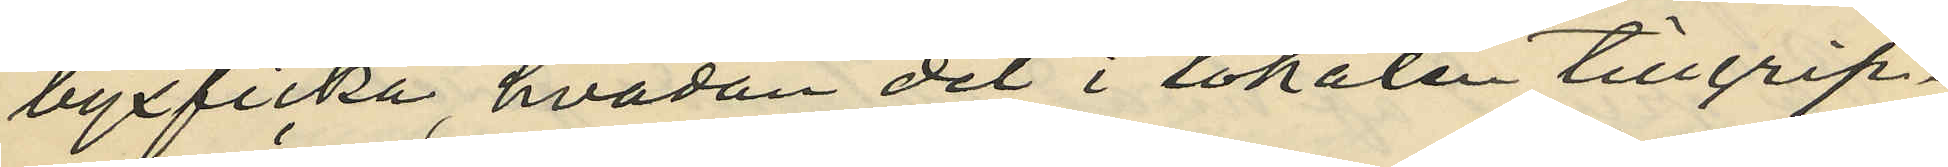byxficka hvadan det i lokalen tillgrip¬
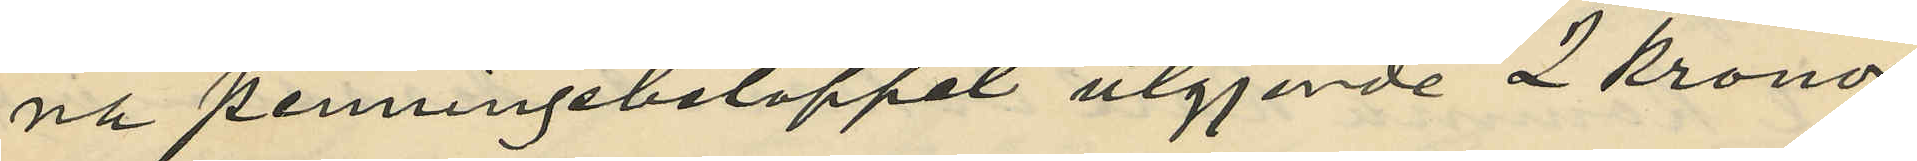na penningebeloppet utgjorde 2 kronor
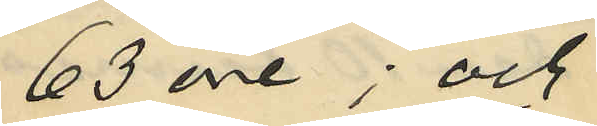63 öre; och
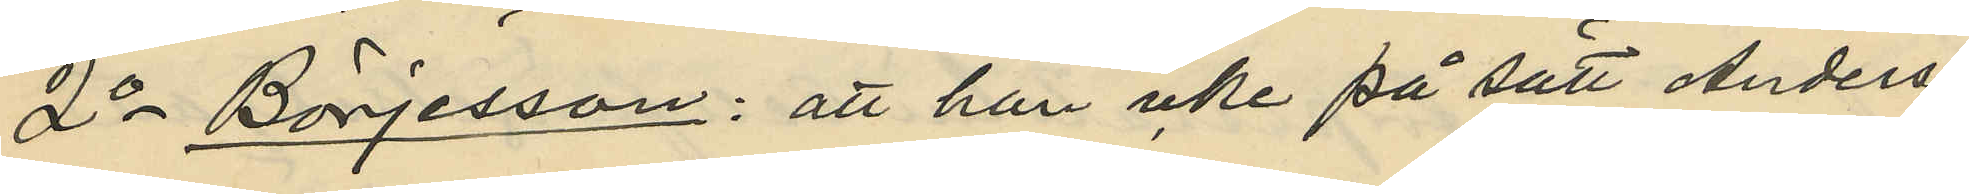2o Börjesson: att han icke på sätt Anders¬
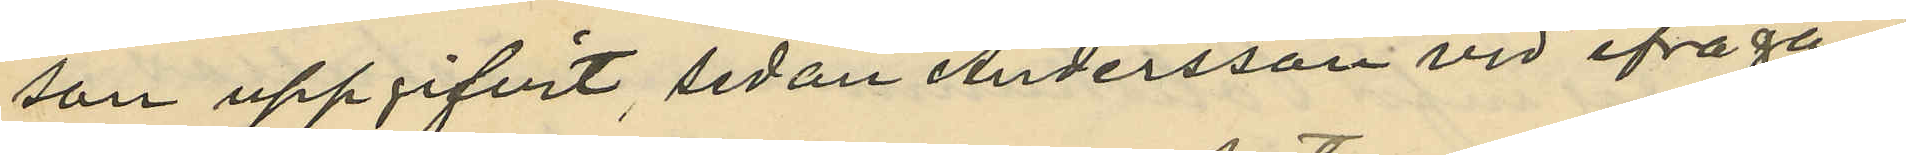son uppgifvit, sedan Andersson vid ifråga¬
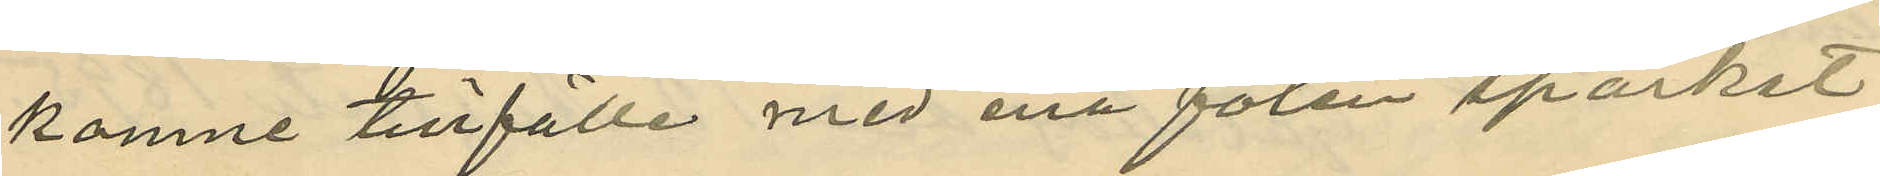komne tillfälle med ena foten sparket
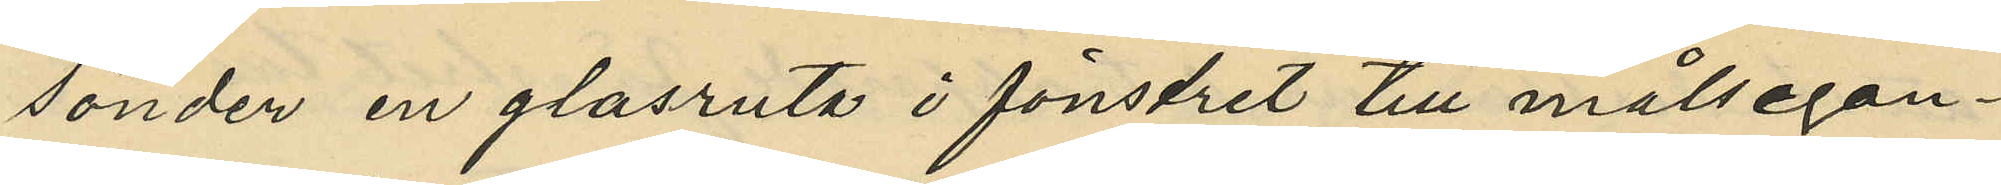sönder en glasruta i fönstret till målsegan¬
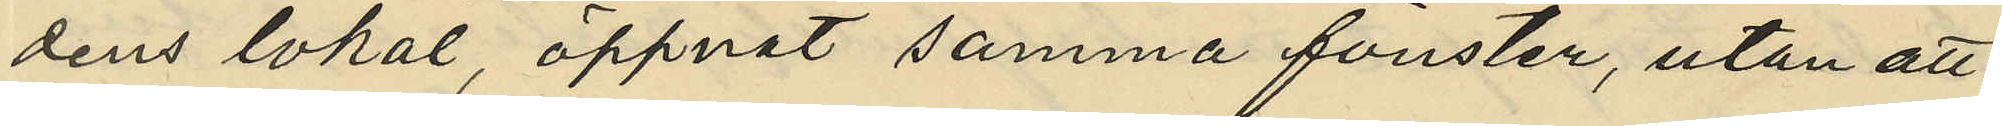dens lokal, öppnat samma fönster, utan att
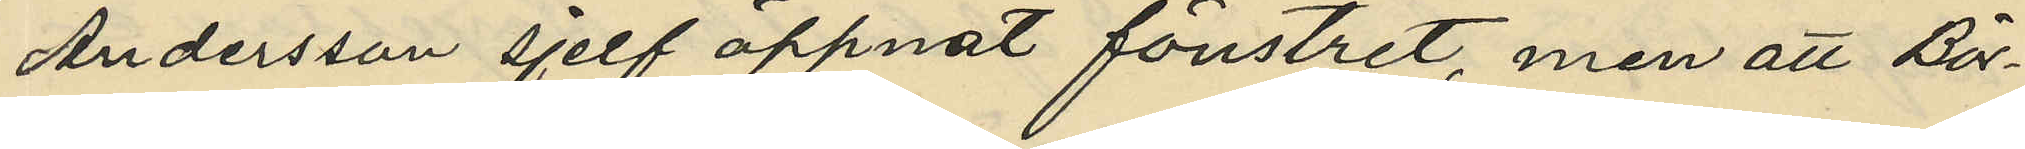Andersson sjelf öppnat fönstret, men att Bör¬
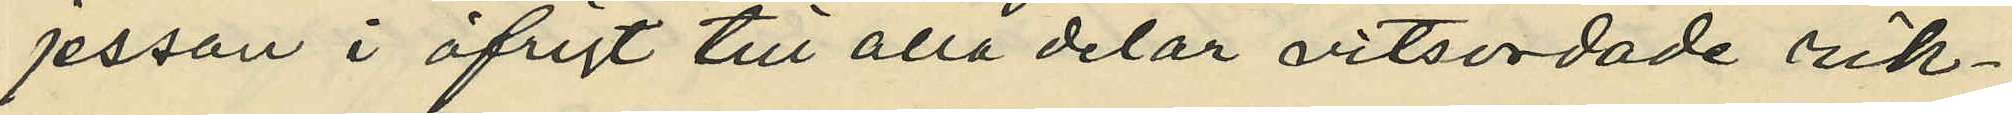jesson i öfrigt till alla delar vitsordade rik¬
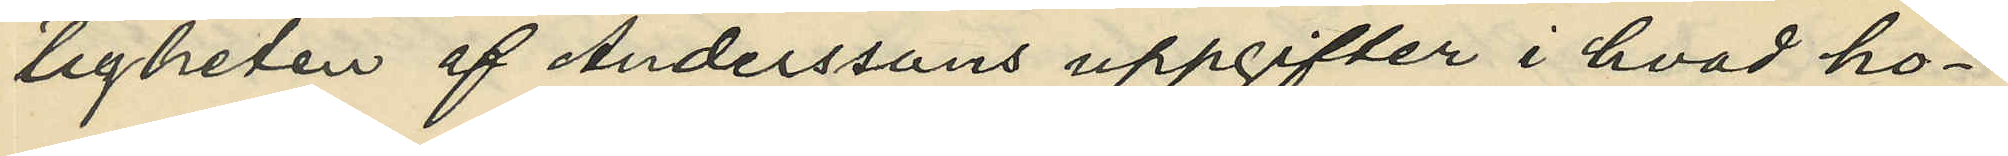tigheten af Anderssons uppgifter i hvad ho¬
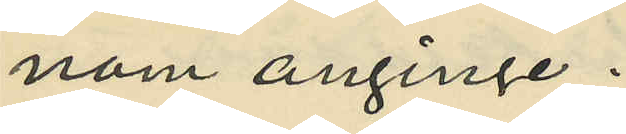nom anginge.
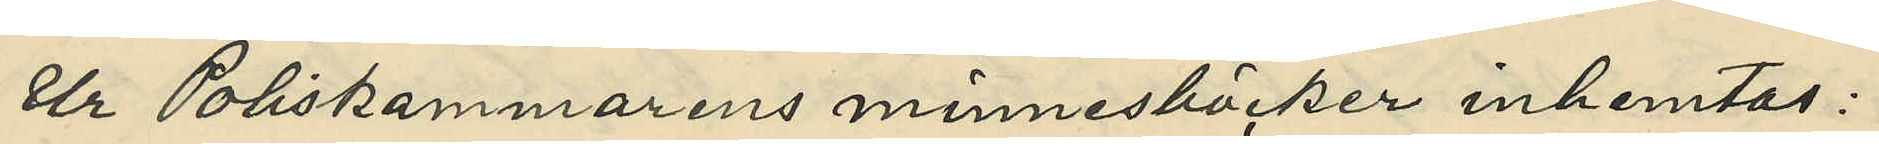Ur Poliskammarens minnesböcker inhemtas:
